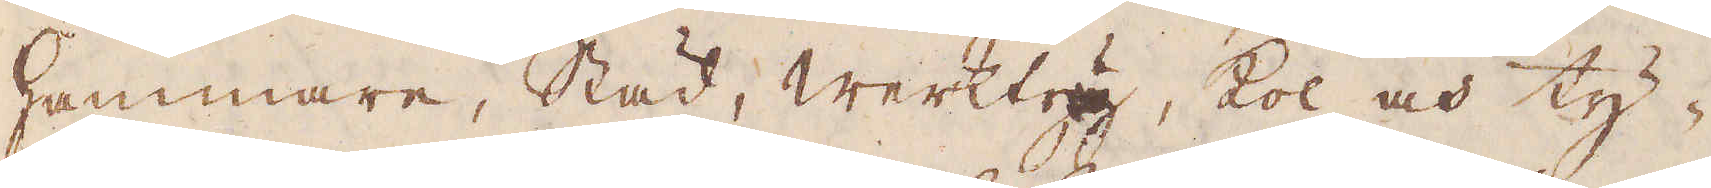hammare, Städ, werktyg, kol och ty-
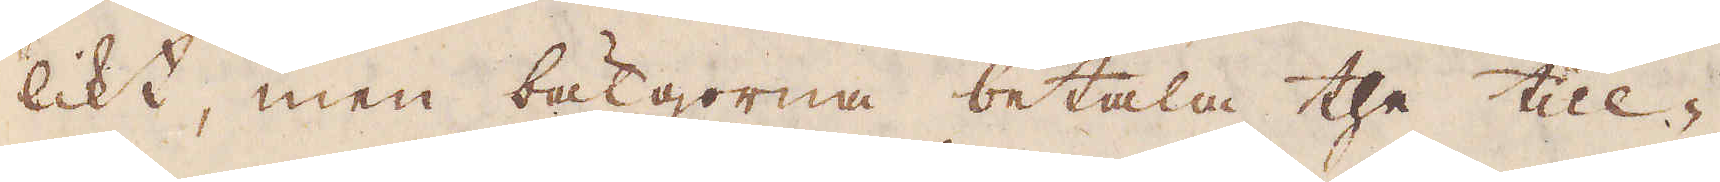likt, men bäljorna betala the till-
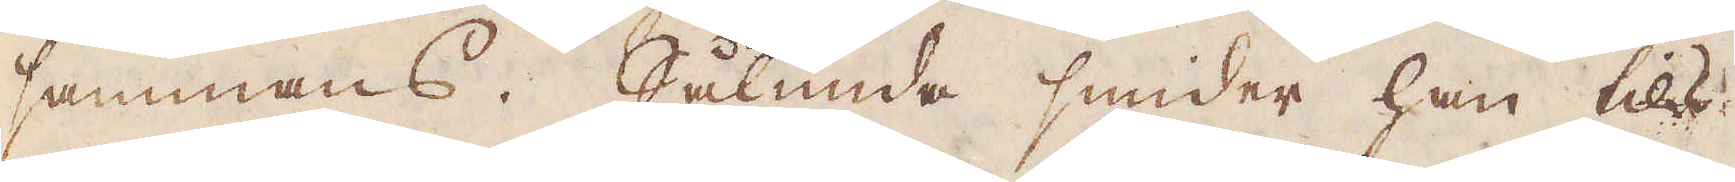sammans. Sålunda smider han tils
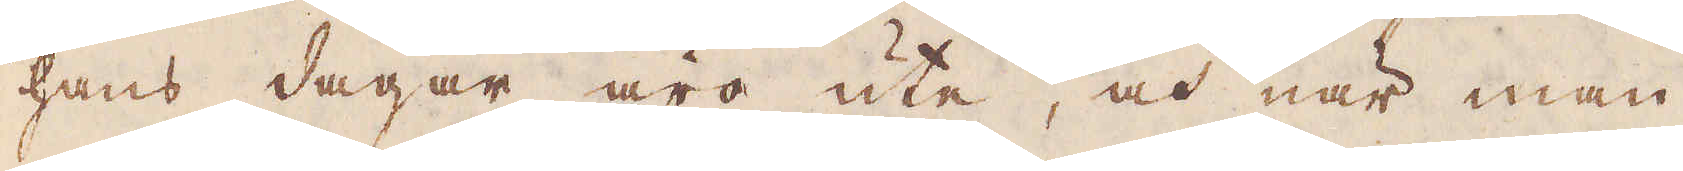hans dagar äro ute, och när man
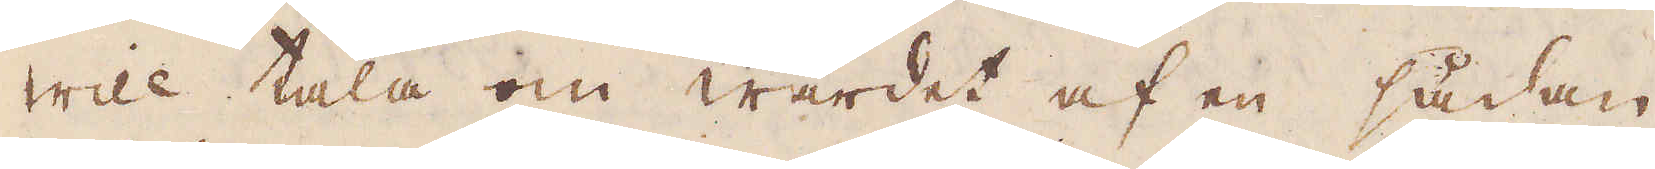will tala om wärdet af en sådan
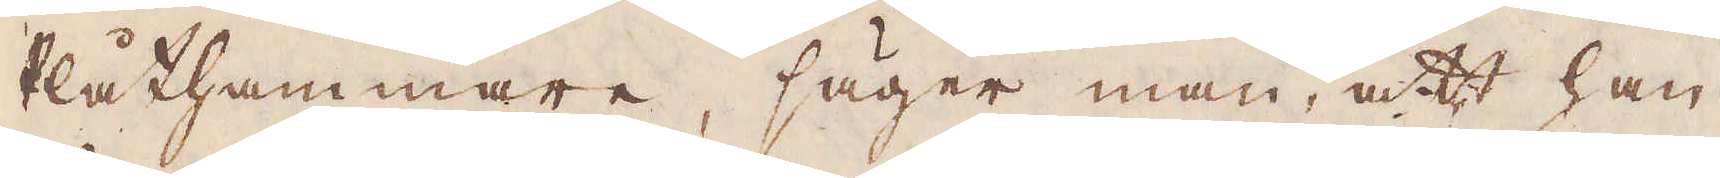Plåthammare, säger man, att han
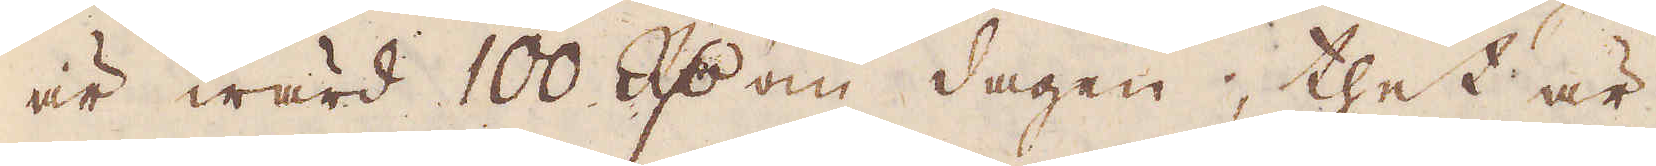är wärd 100 R:dr om dagen, thet är
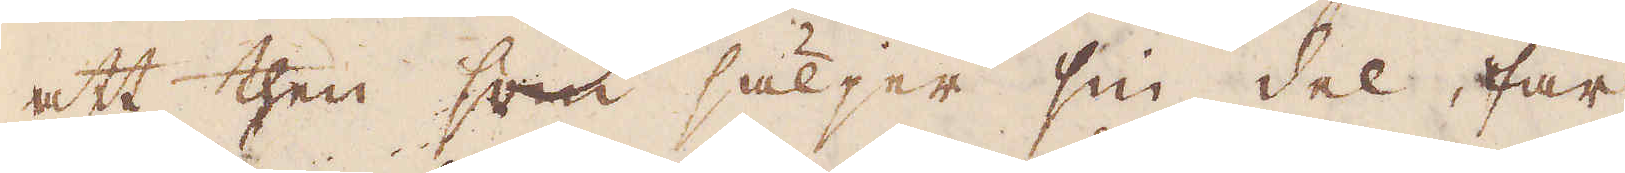att then som säljer sin del, får
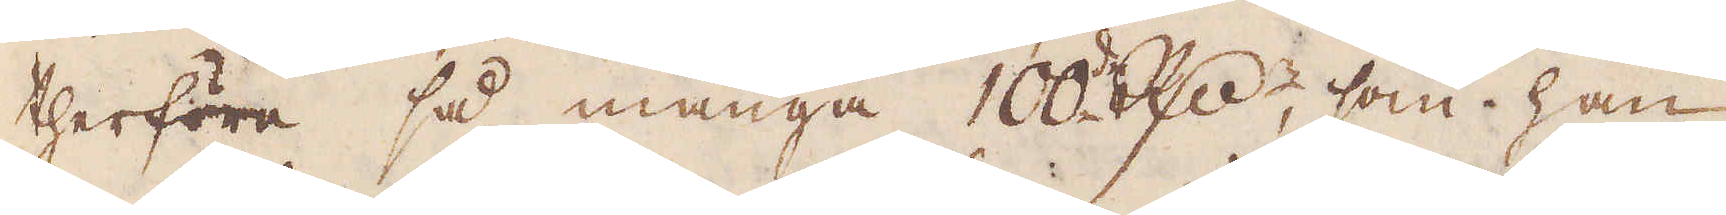therföre så många 100 R:drr, som han
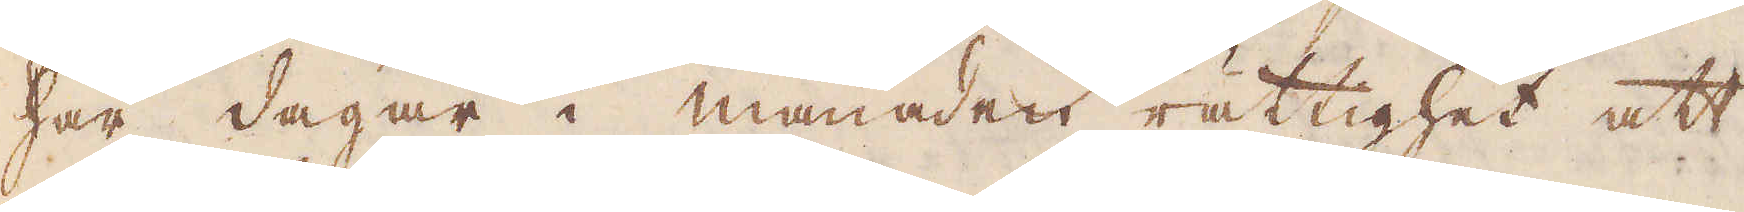har dagar i månaden rättighet att
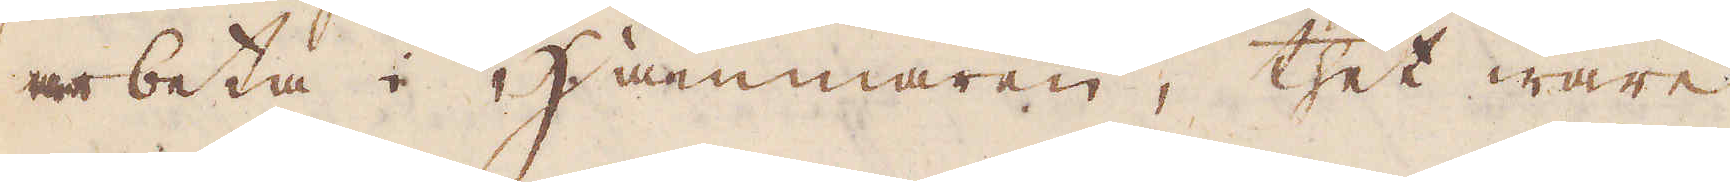arbeta i Hammaren, thet ware
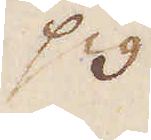sig
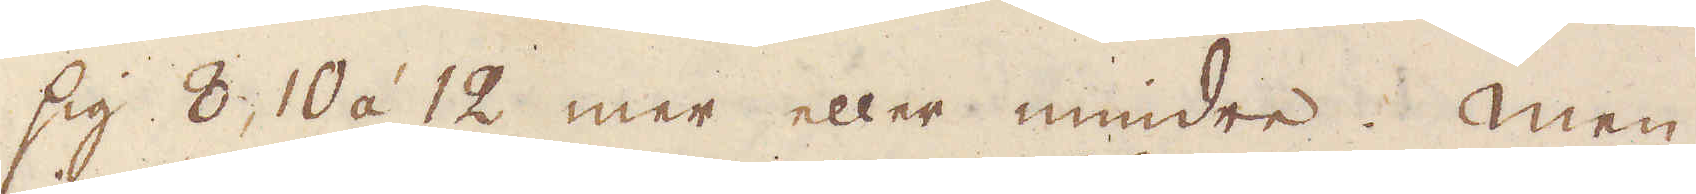sig 8, 10 á 12, mer eller mindre. Men
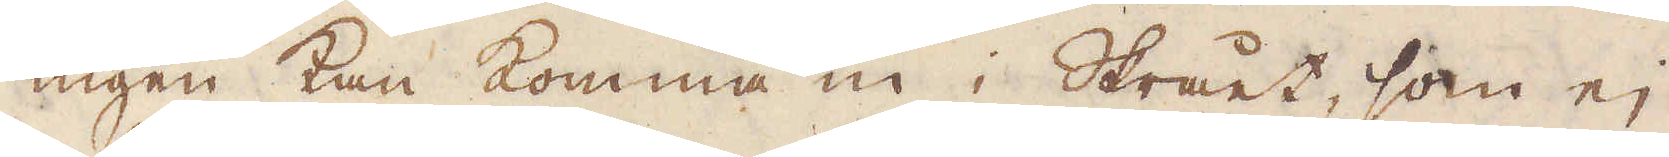ingen kan komma in i Skrået, som ej
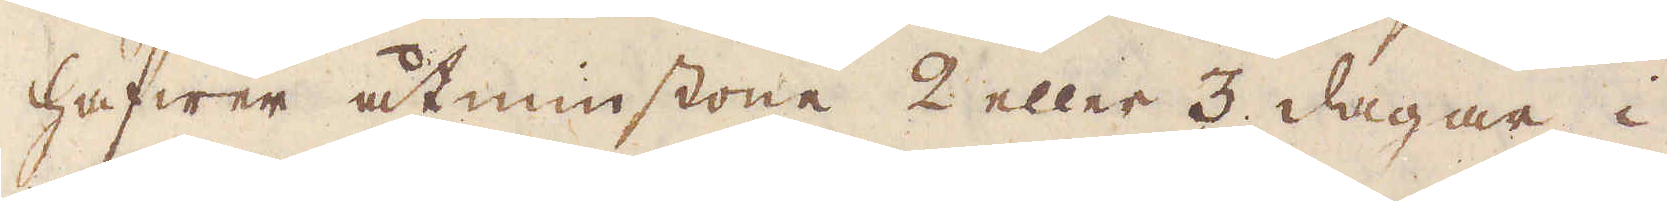hafwer åtminstone 2 eller 3 dagar i
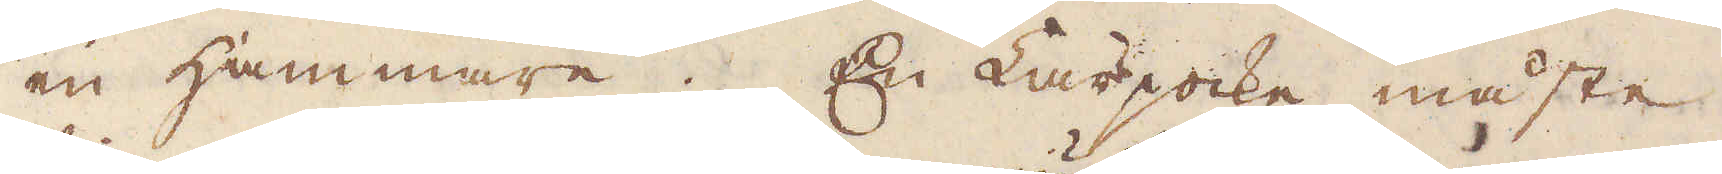en Hammare. En Lärjocke måste
